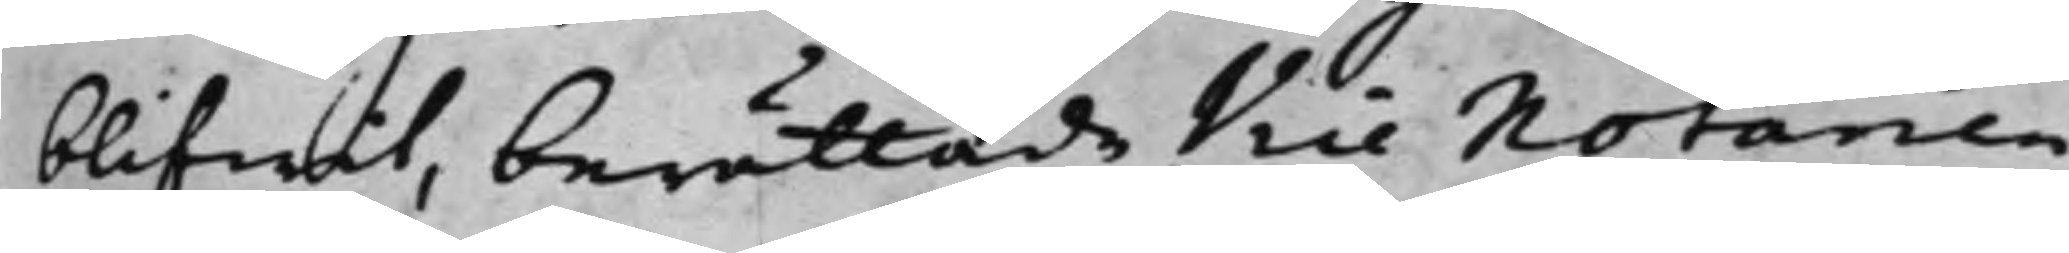blifwit, berättade Vice Notarien
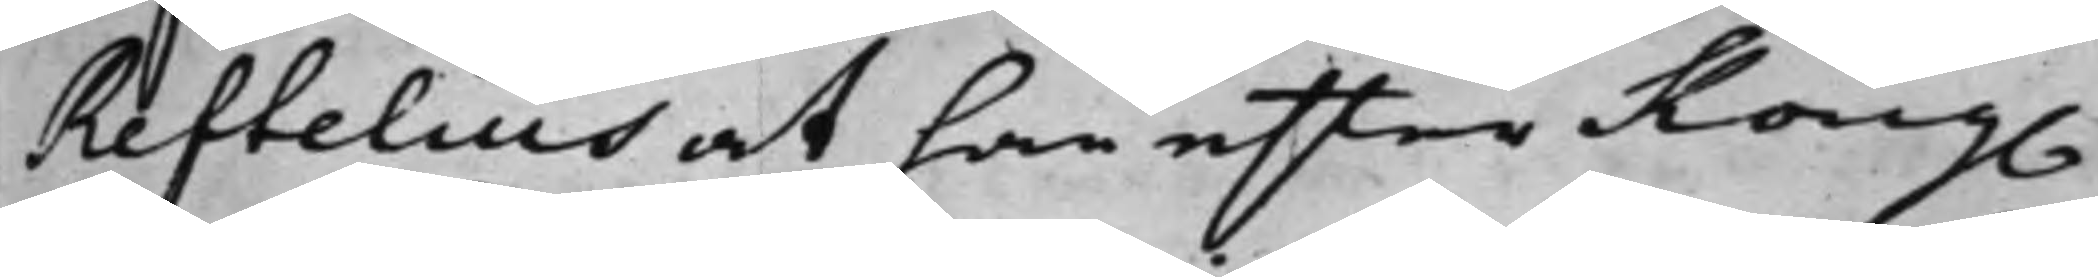Reftelius at han efter Kong.
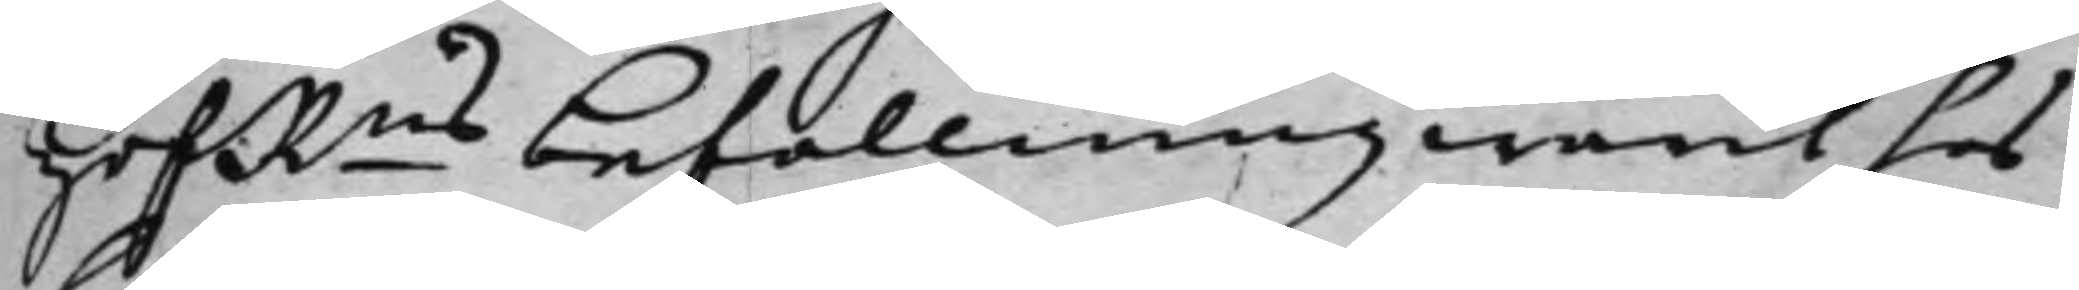HofRns befallning warit hos
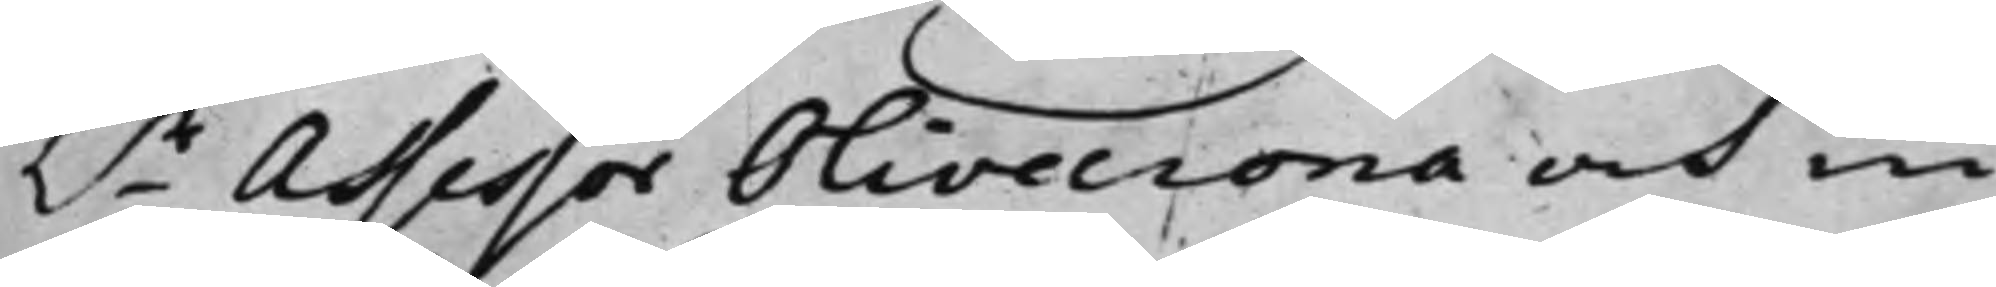h.r Assessor Olivecrona och in¬
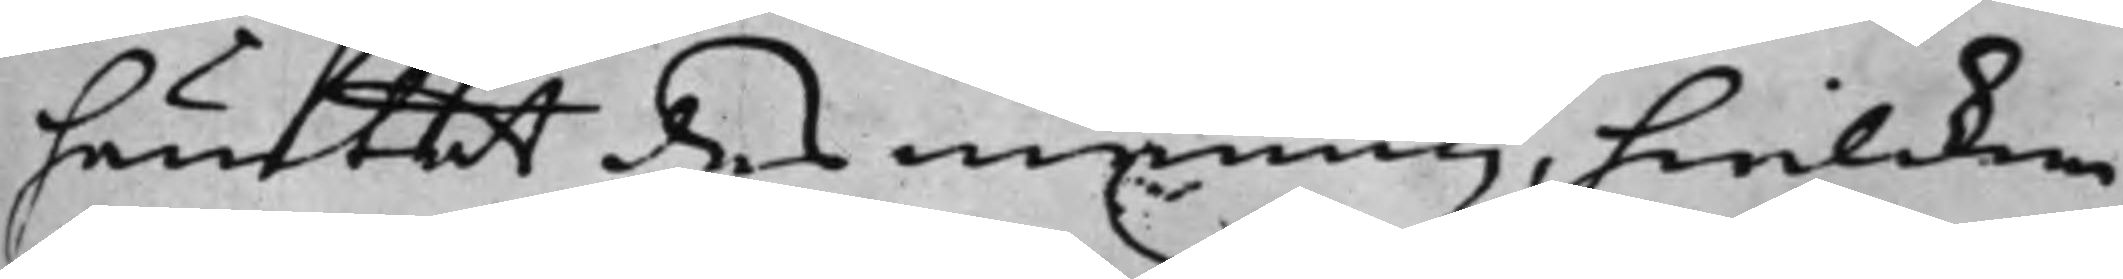hämtat des mening, hwilcken
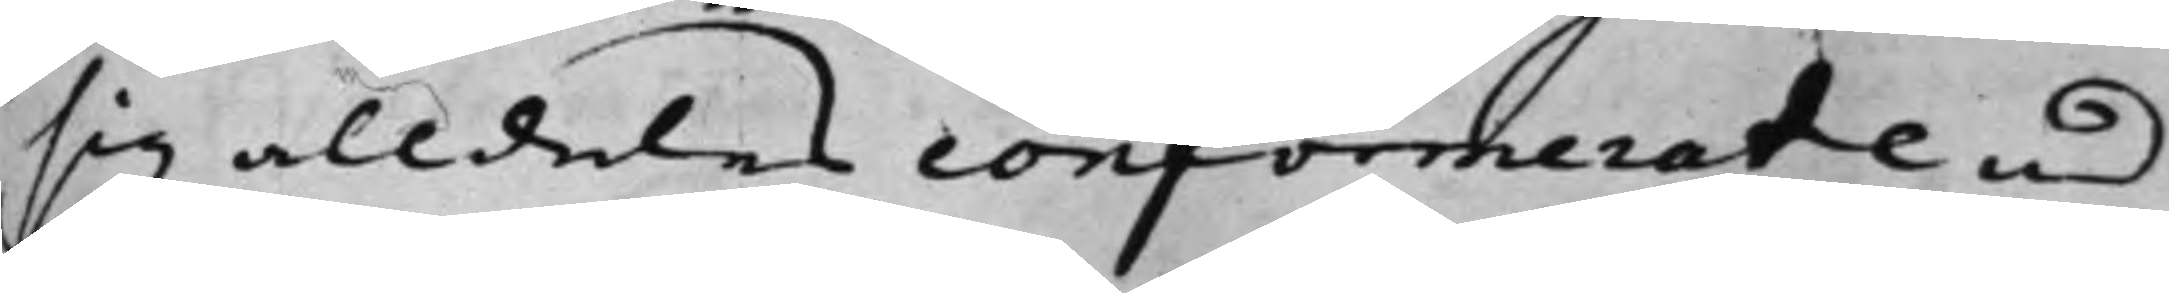sig alldeles conformerade med
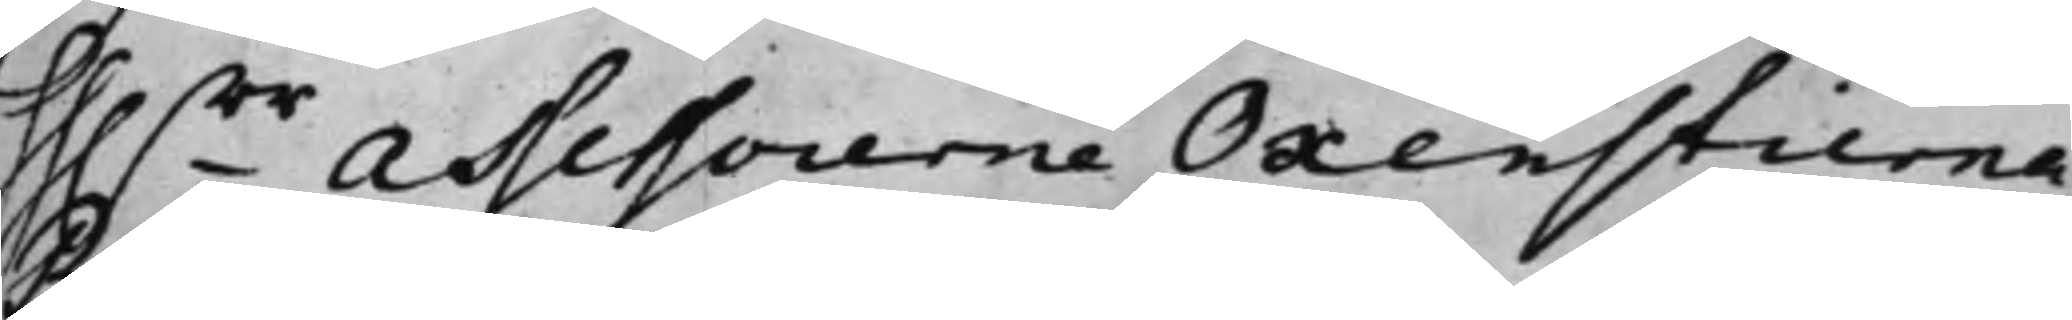hh.rr Assessorerne Oxenstierna,
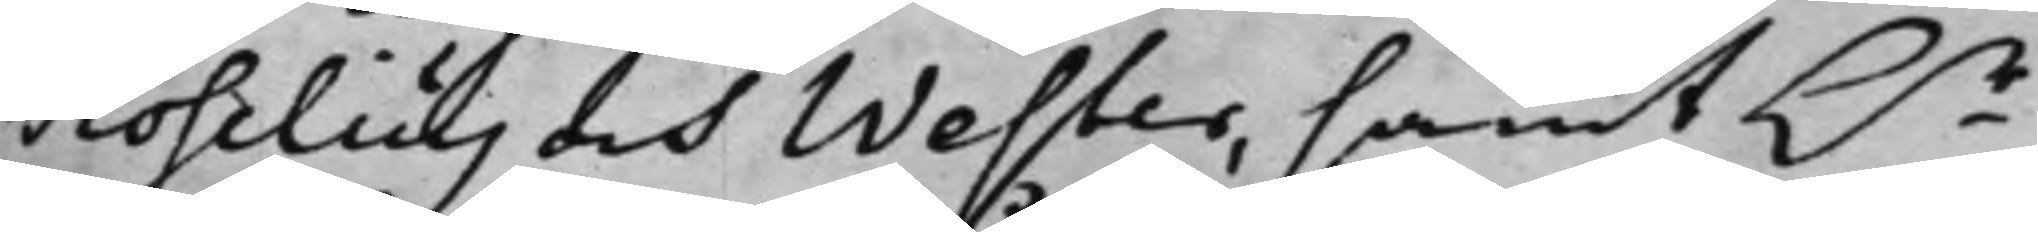Roselius, och Wester, samt h.r
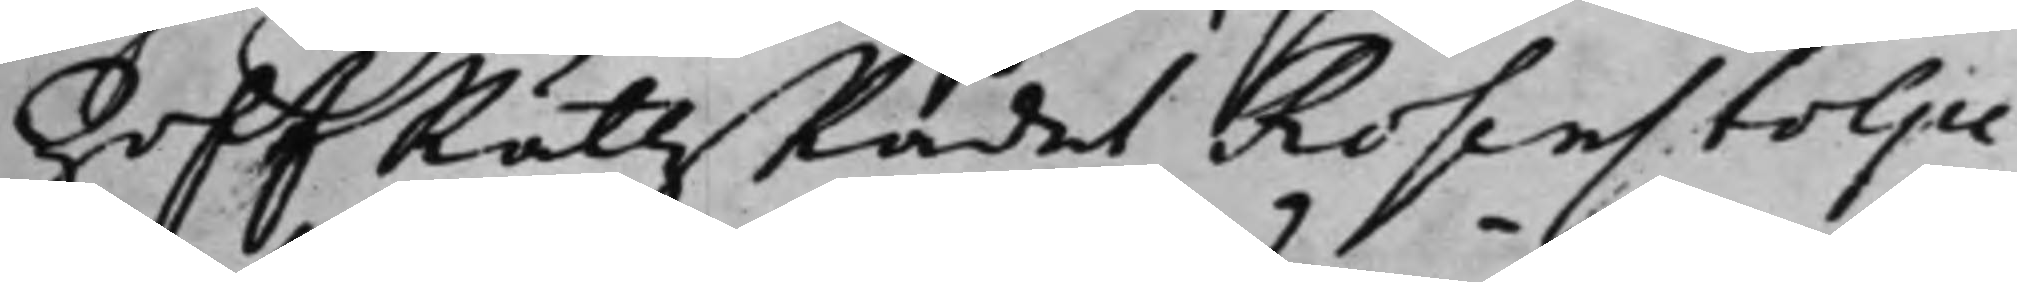HoffRättzRådet Rosenstolpe
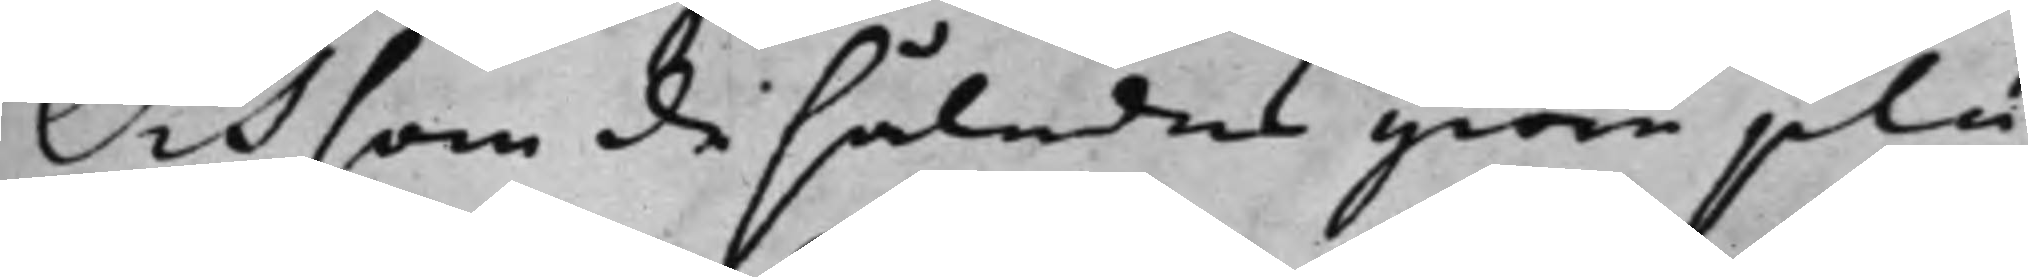Och som de således giöra plu¬
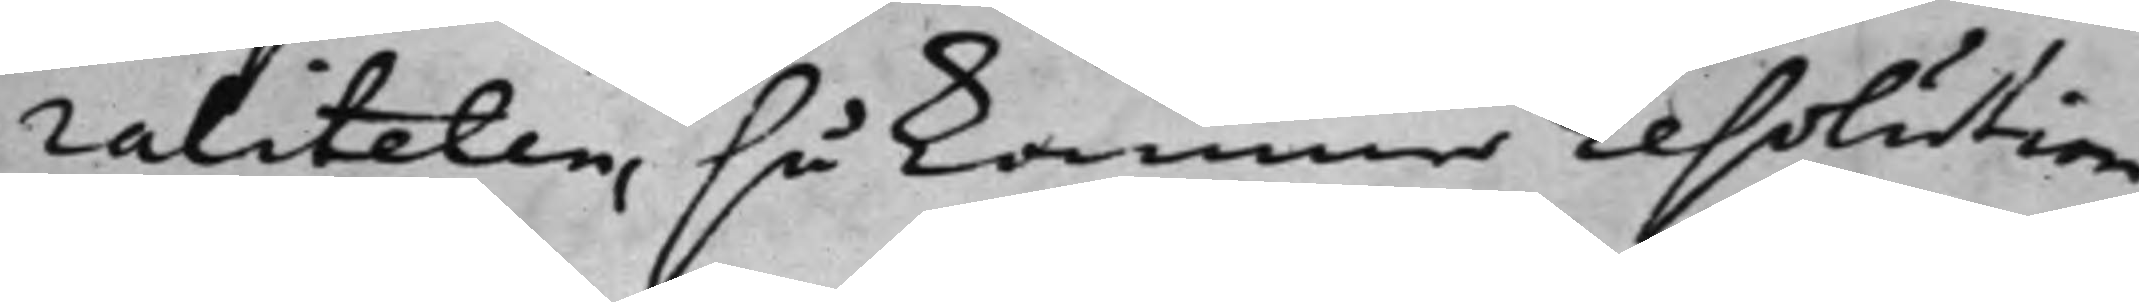raliteten, så kommer resolution
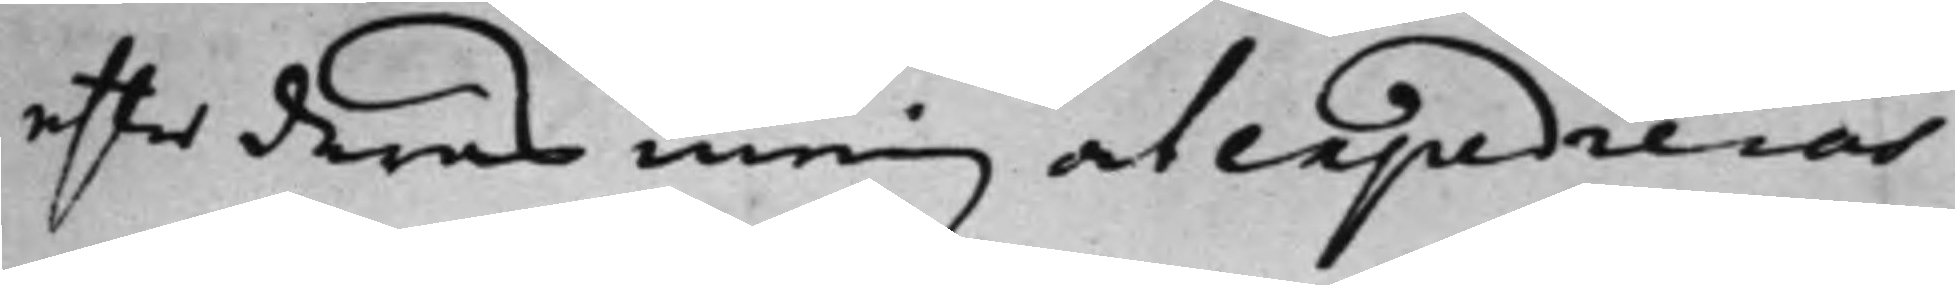effter deras mening at expedieras.
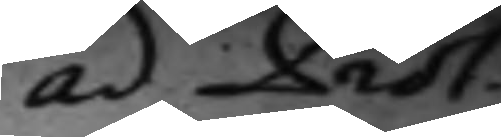ad Prot:
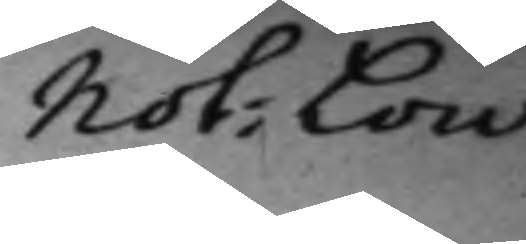Not: Low.
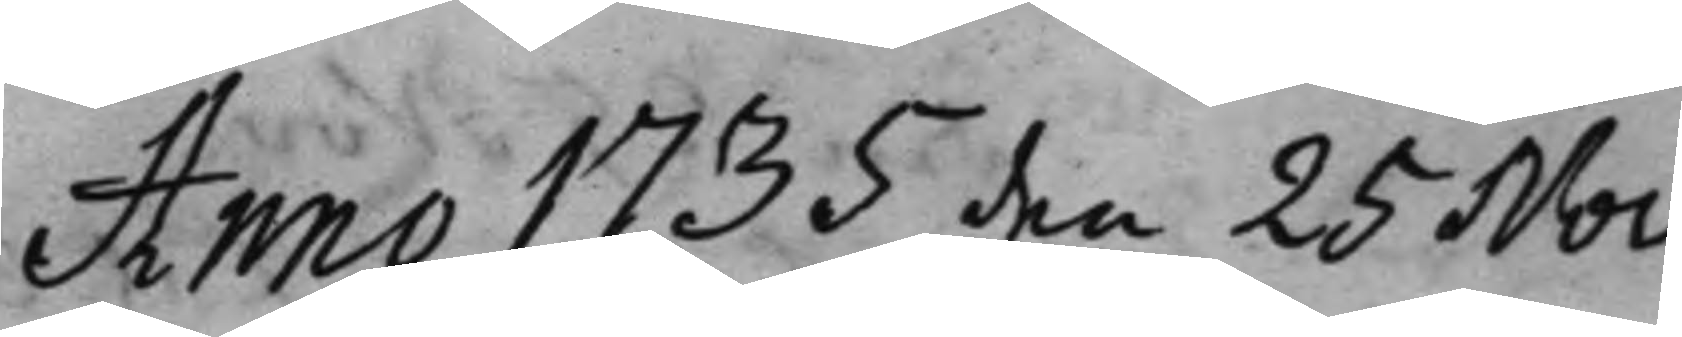Anno 1735 den 25 Nov.
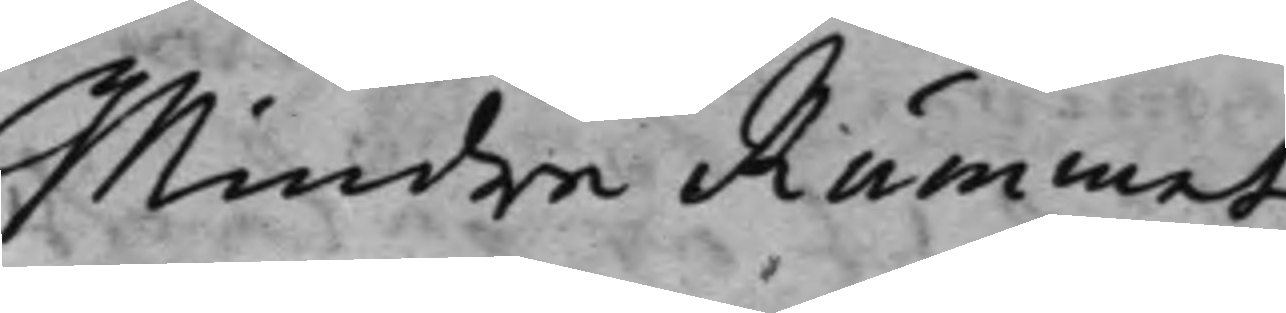Mindre Rummet.
